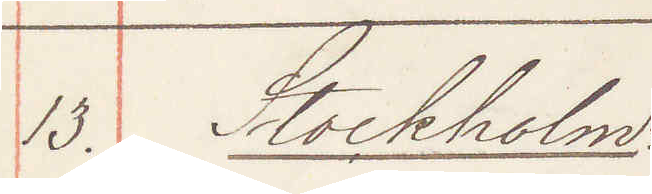13. Stockholm
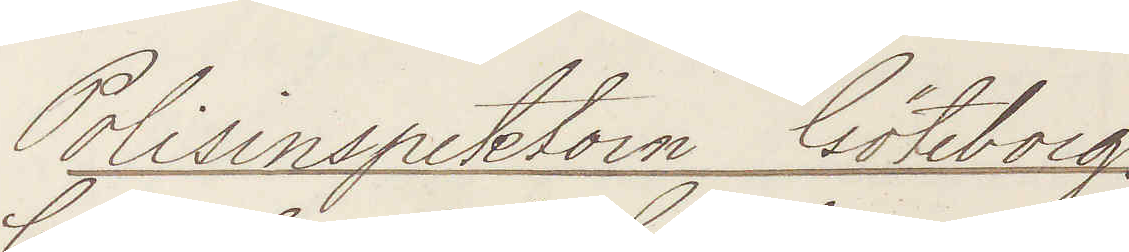Polisinspektorn Göteborg.
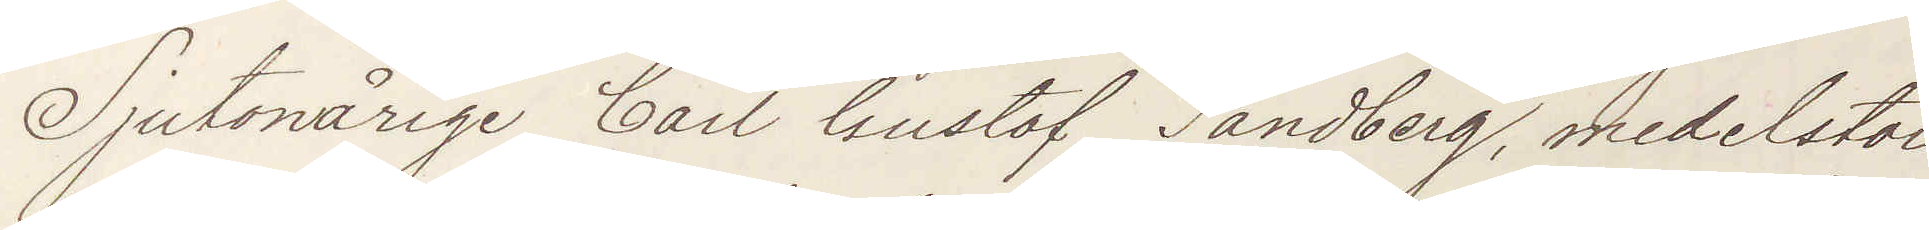Sjutonårige Carl Gustaf Sandberg, medelstor
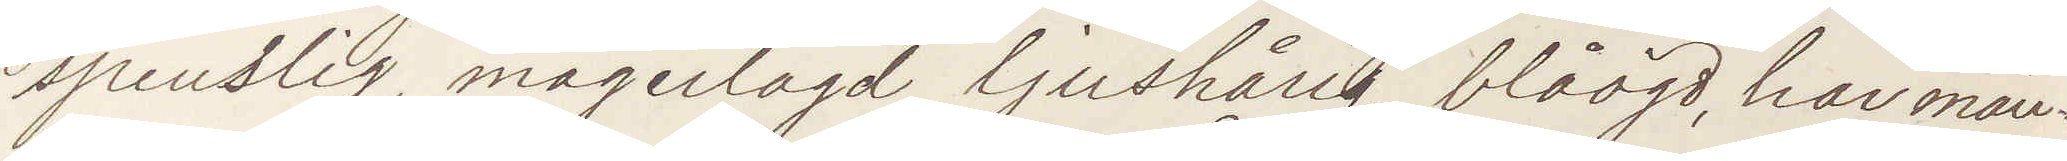spenslig, magerlagd, ljushårig, blåögd, har mån¬
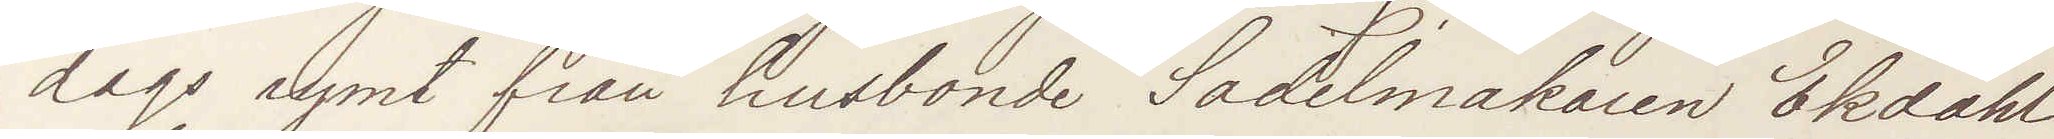dags rymt från husbonde Sadelmakaren Ekdahl
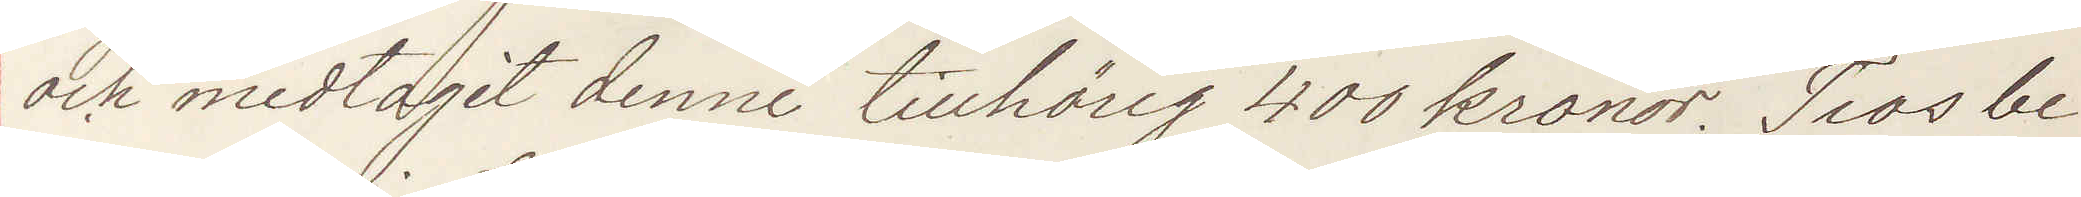och medtagit denne tillhörig 400 kronor. Tros be¬
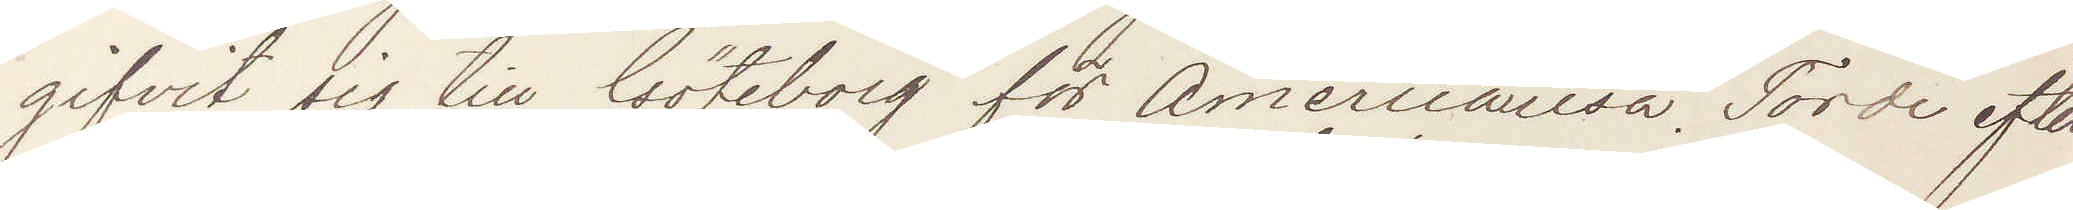gifvit sig till Göteborg för Americaresa. Torde efter¬
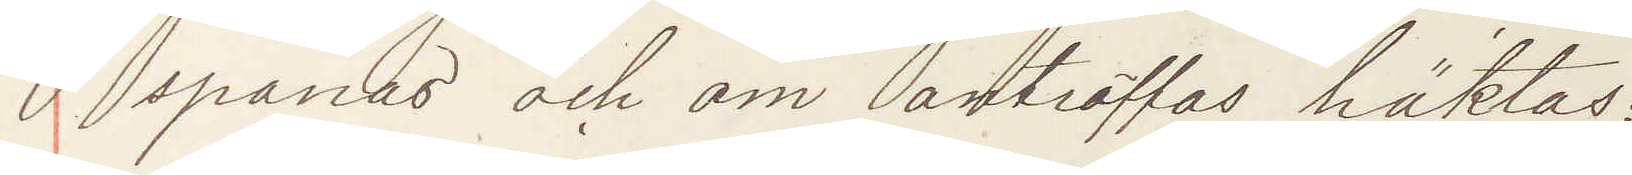spanas och om anträffas häktas:
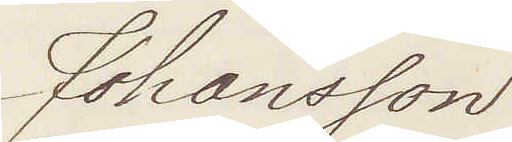Johansson
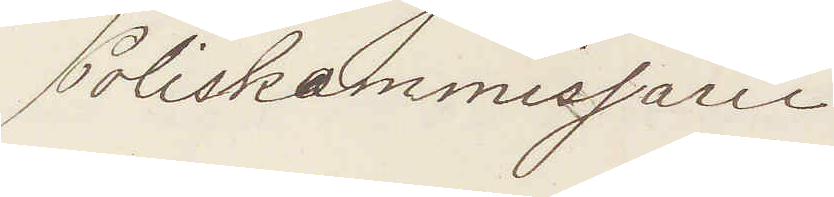Poliskommissarie
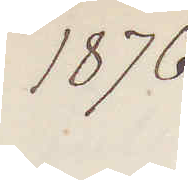1876.
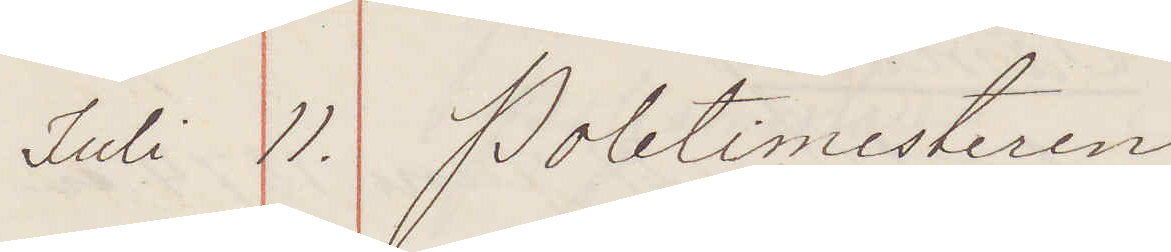Juli 11. Politimesteren
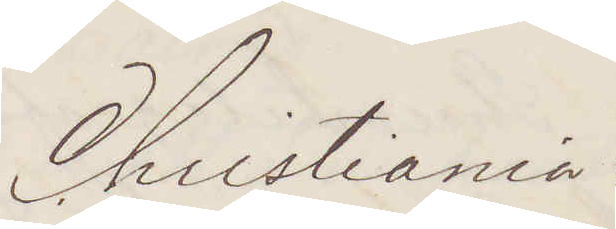Christiania:
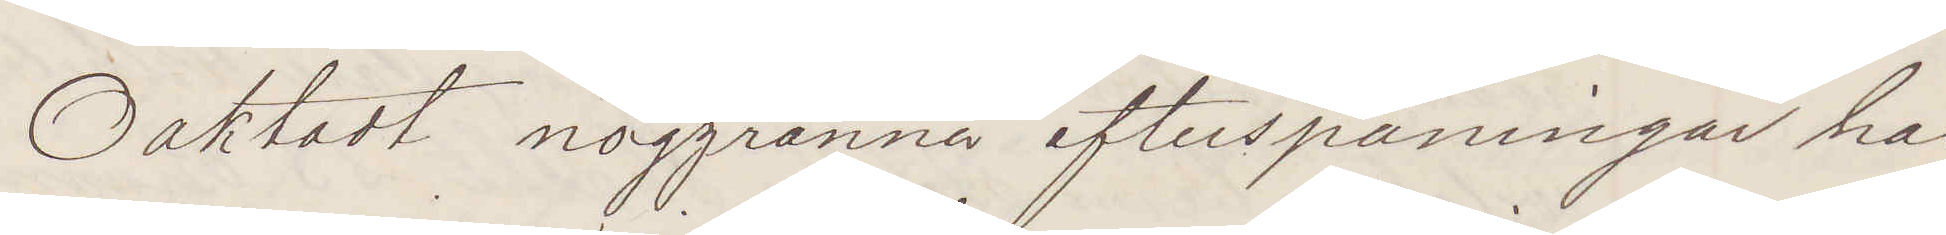Oaktadt noggranna efterspaningar har
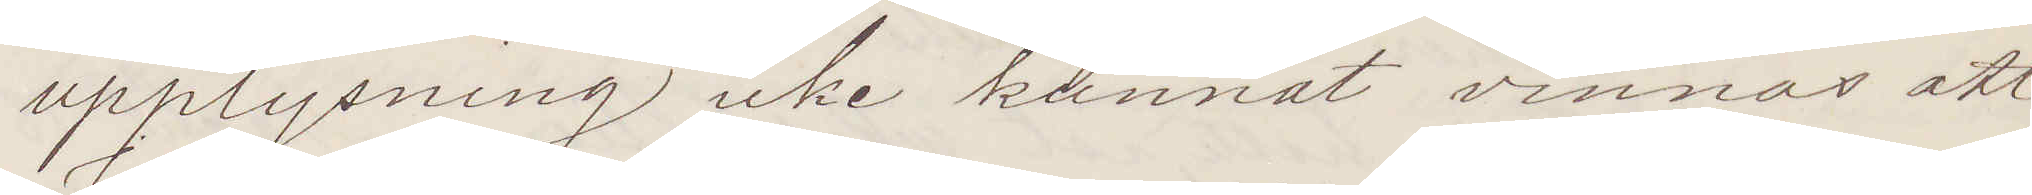upplysning icke kunnat vinnas att
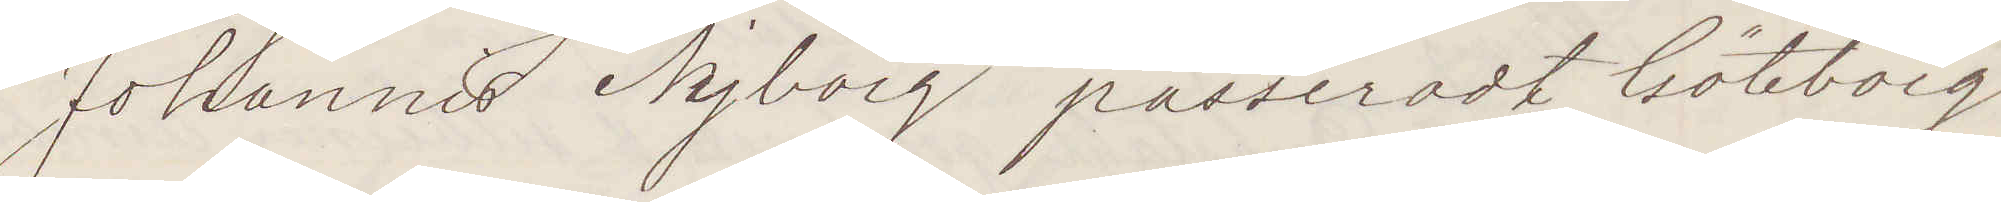Johannis Nyborg passeradt Göteborg
